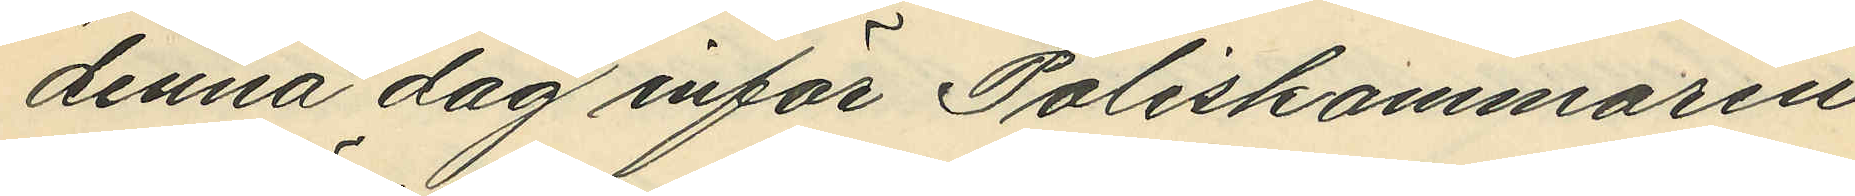denna dag inför Poliskammaren
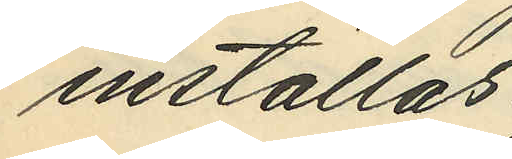inställas.
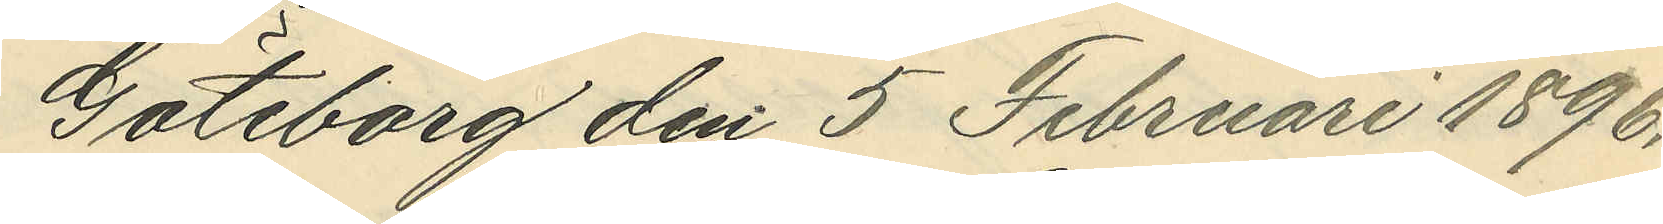Göteborg den 5 Februari 1896.
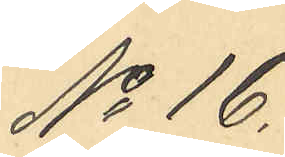No 16
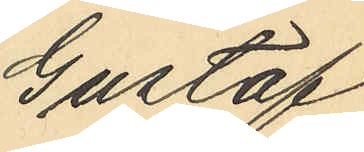Gustaf
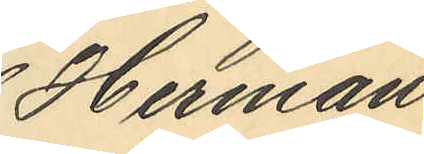Herman
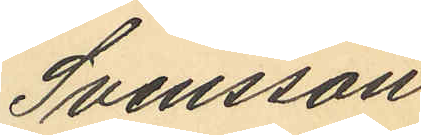Svensson
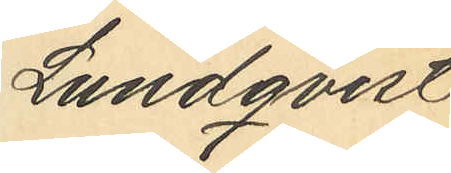Lundqvist
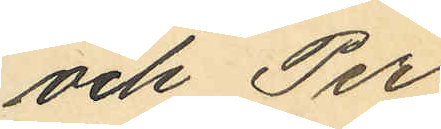och Per
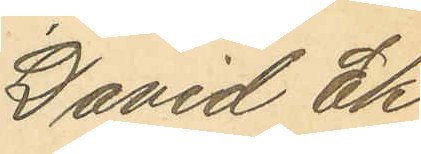David Ek¬
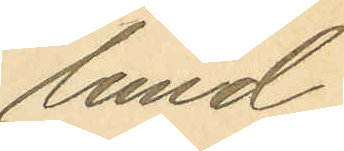lund
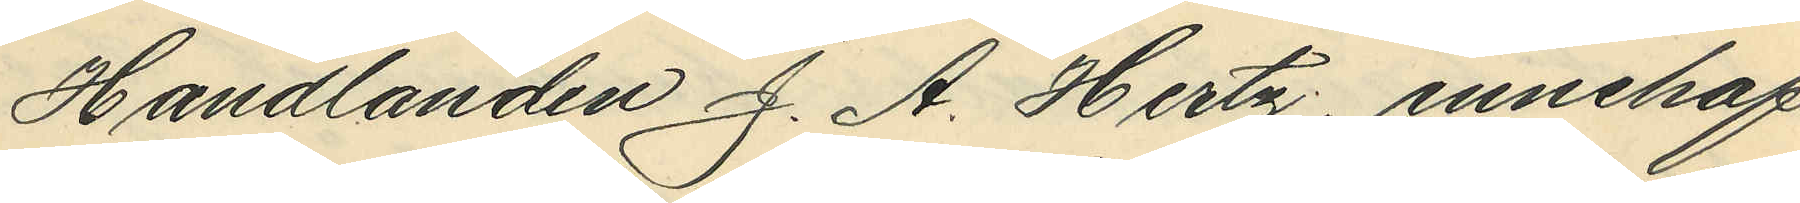Handlanden J. A. Hertz, innehaf¬
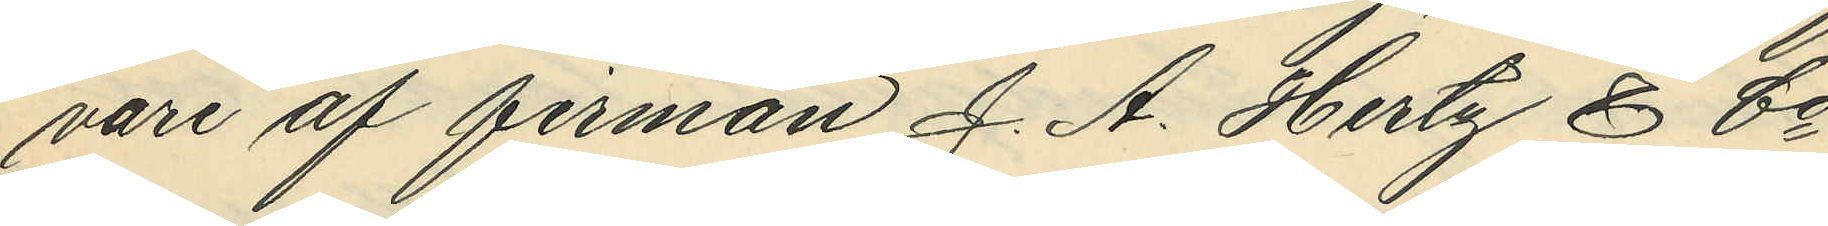vare af firman J. A. Hertz & Co,
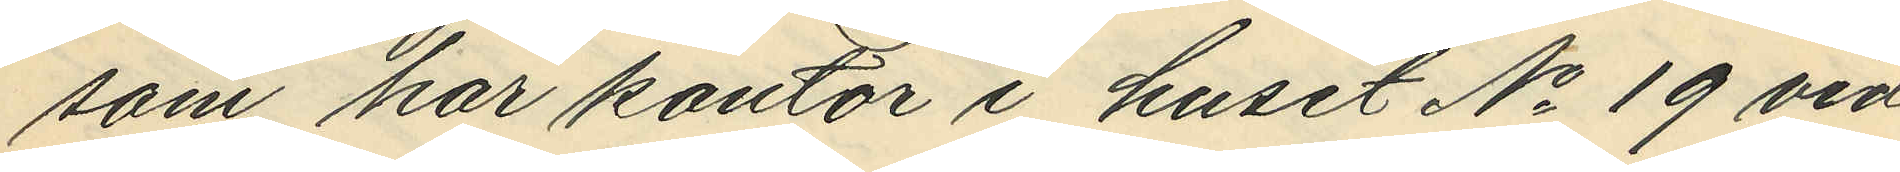som har kontor i huset No 19 vid
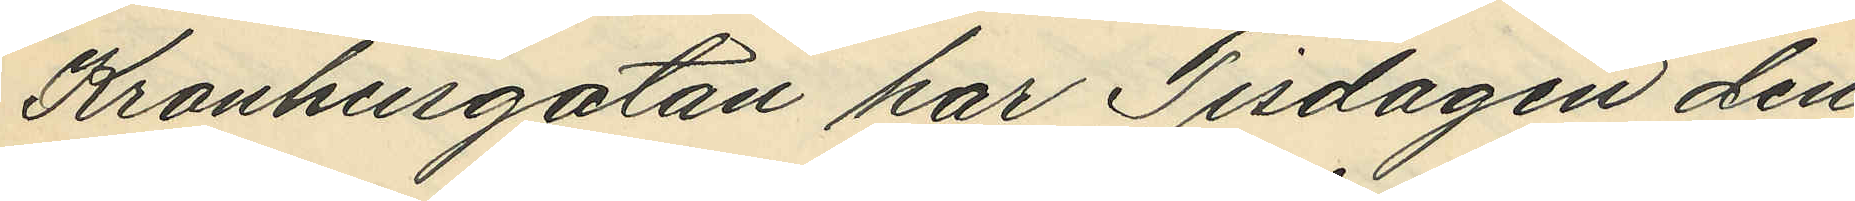Kronhusgatan har Tisdagen den
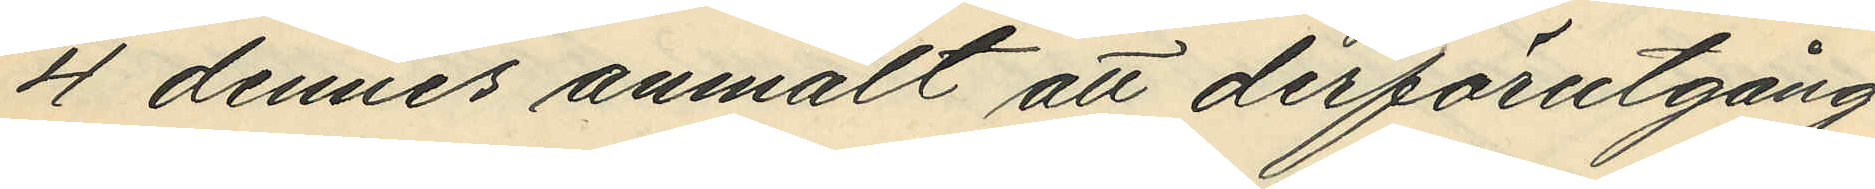4 dennes anmält att derförutgång¬
